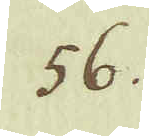56.
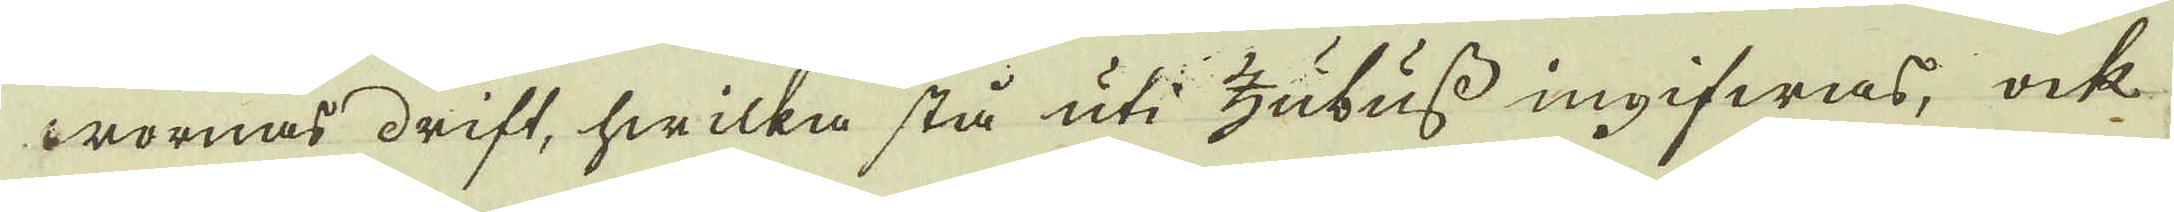worornas drift, hwilka stå uti zubuss ingifwas; ock
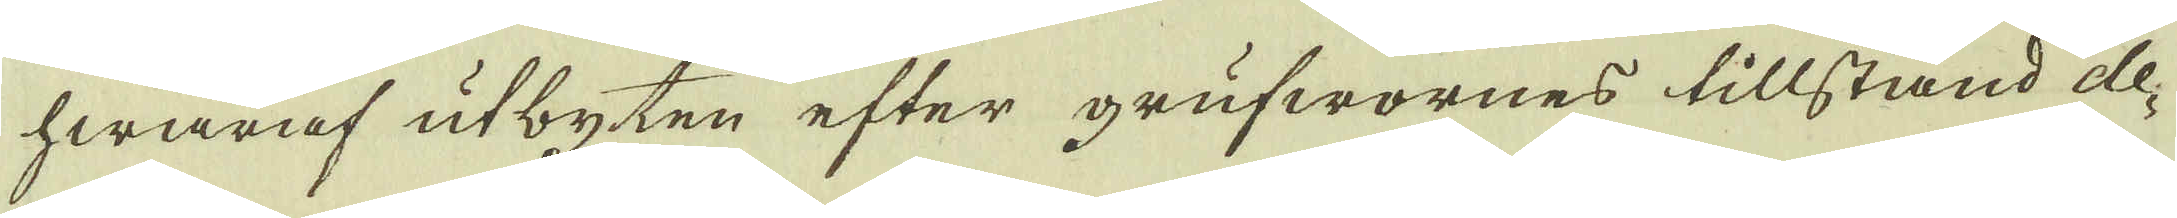hwaraf utbyten efter grufwornes tillstånd de-
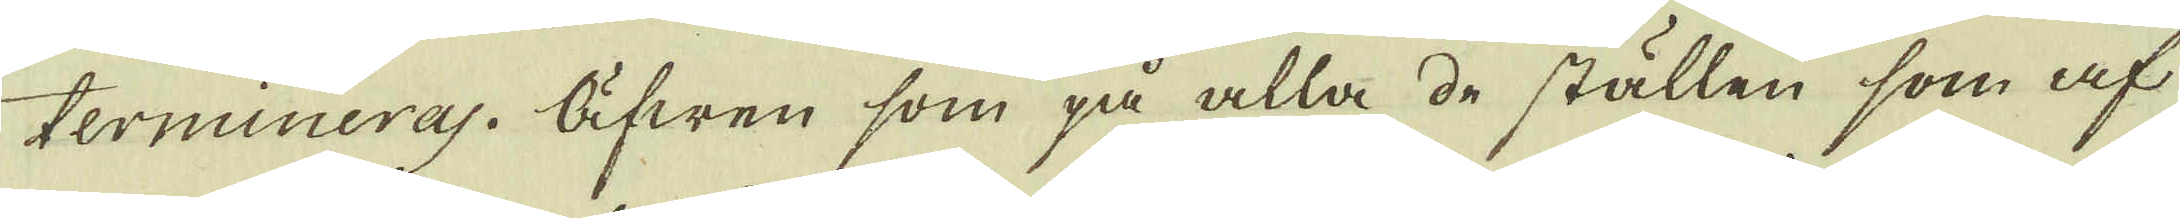termineras. Äfwen som på alla de ställen som af
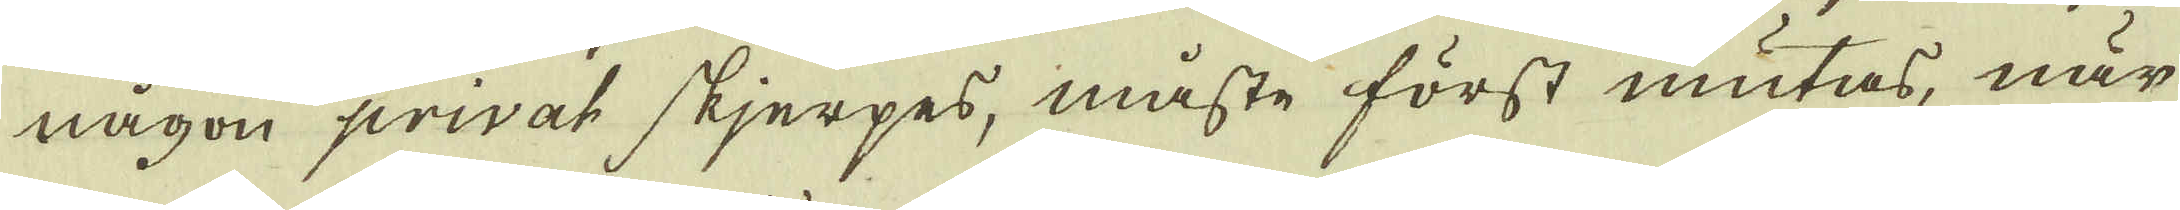någon privat skjerpes, måste först mutas, när
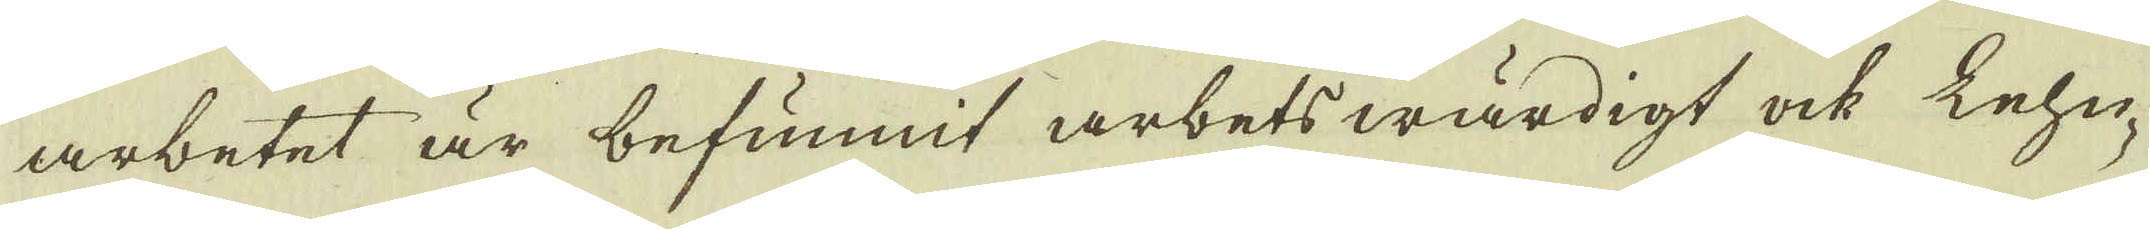arbetet är befunnit arbetswärdigt ock kehu-
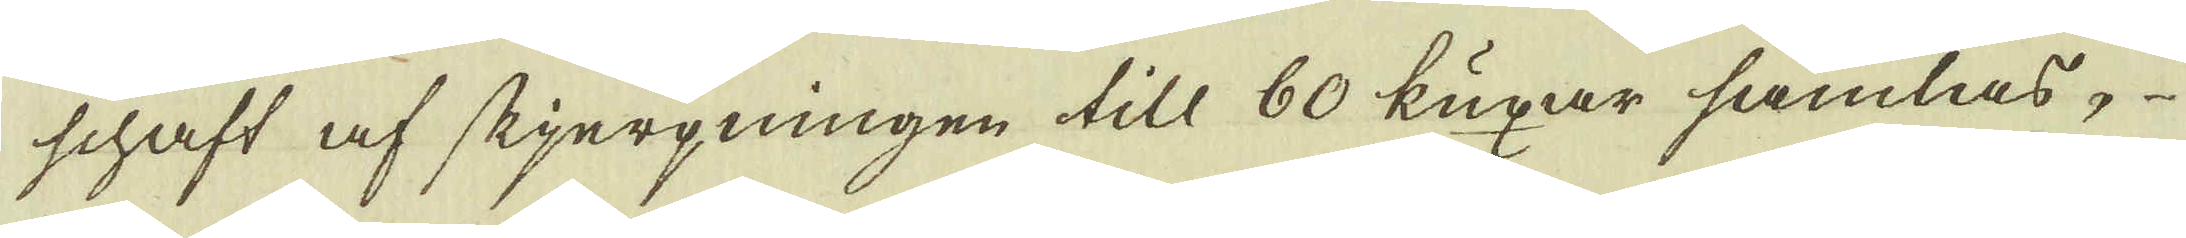schaft af skjerpningen till 80 kuxar samlas,
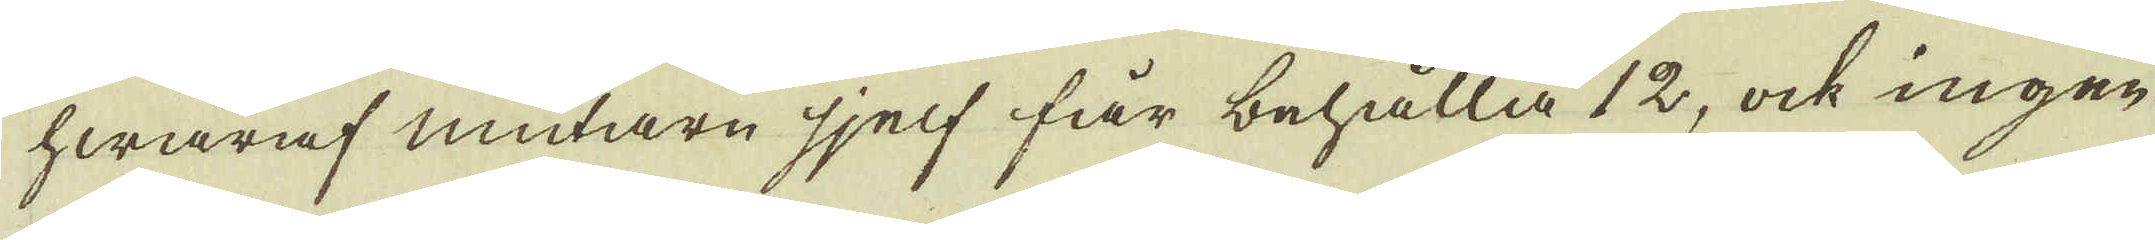hwaraf mutarn sjelf får behålla 12, ock ingen
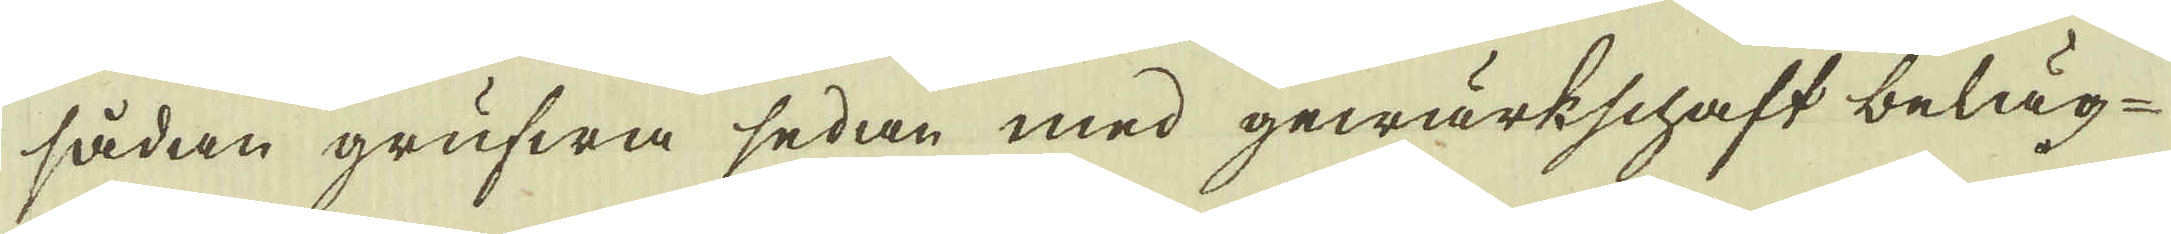sådan grufwa sedan med gewärkschaft beläg-
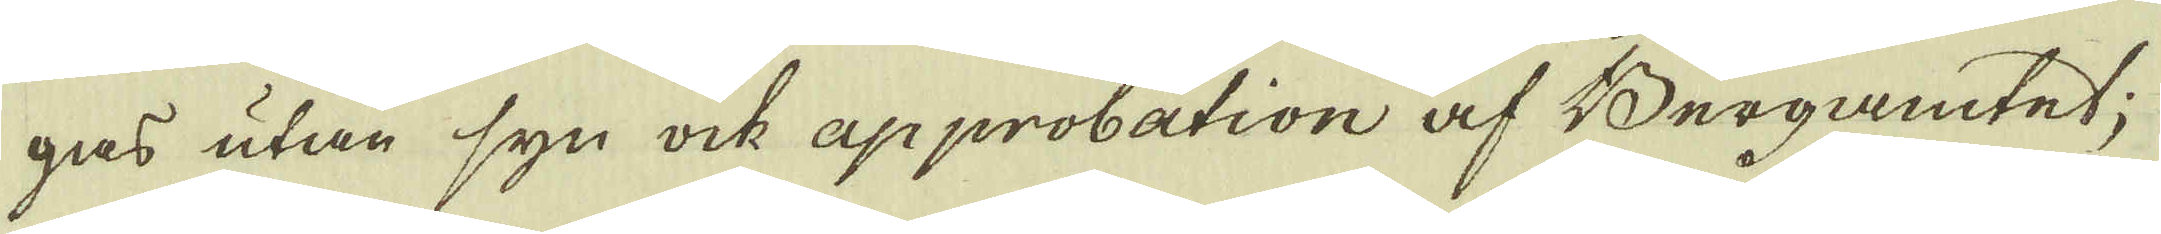gas utan syn ock approbation af Bergamtet;
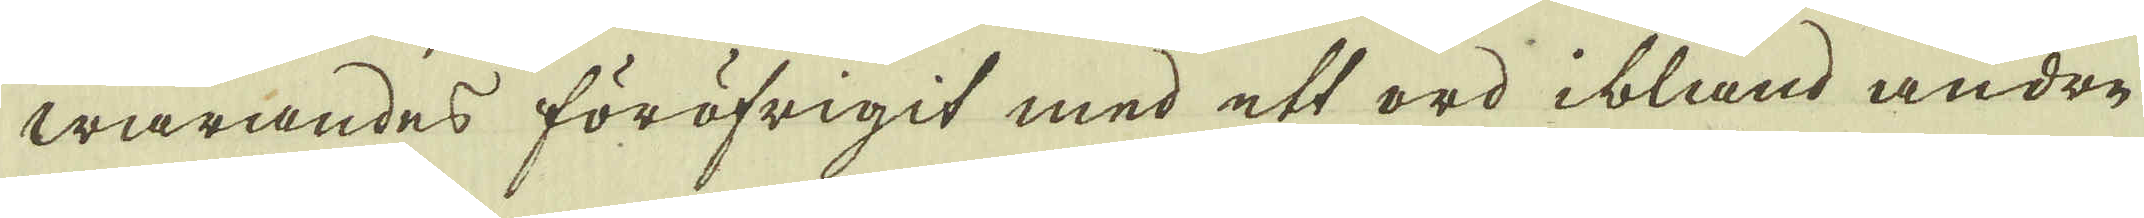warandes föröfrigit med ett ord ibland andre
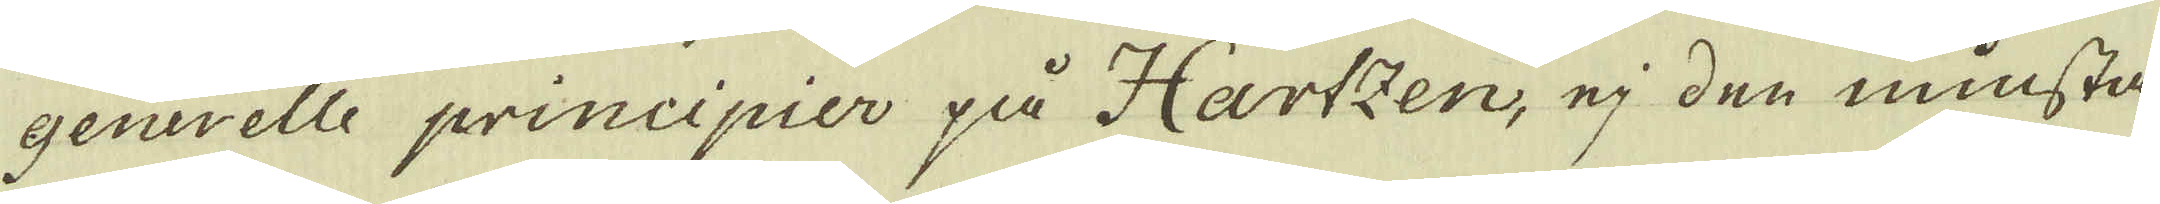generelle principier på Hartzen, ej den minsta,
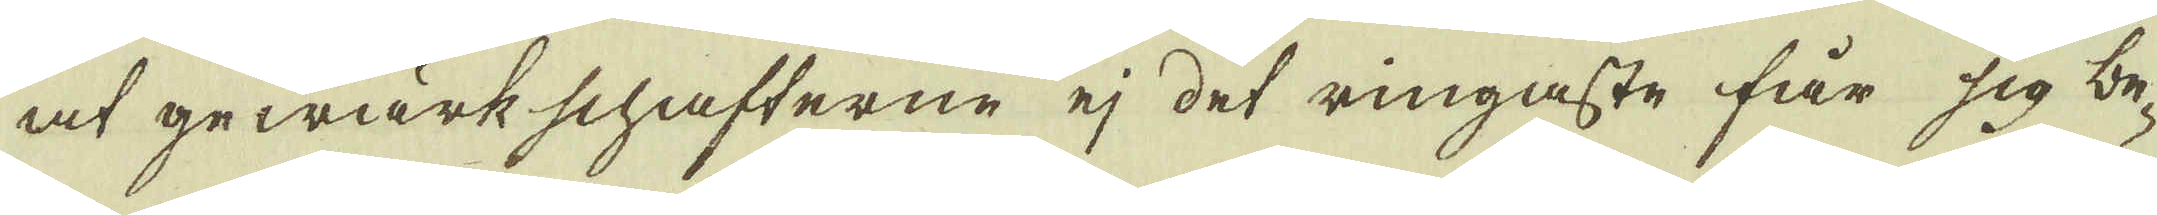at gewärkschafterne ej det ringaste får sig be-
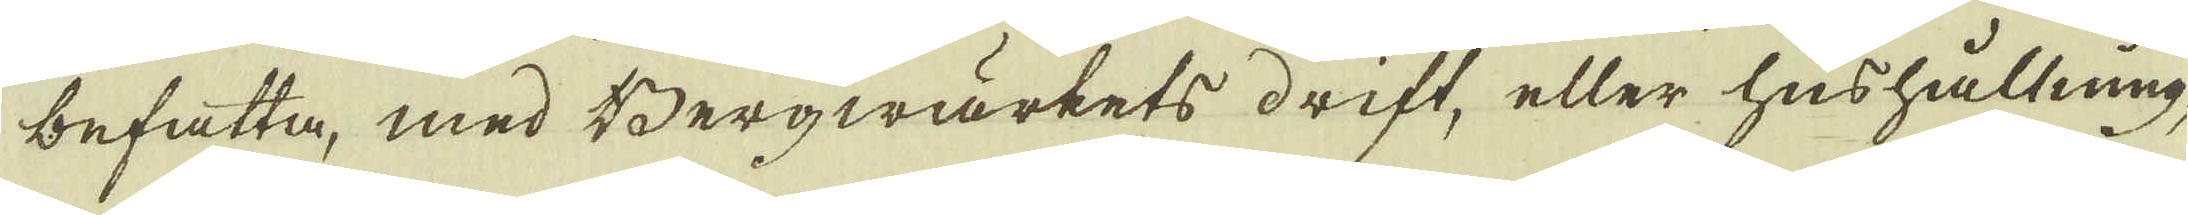befatta, med Bergwärkets drift, eller hushållning,
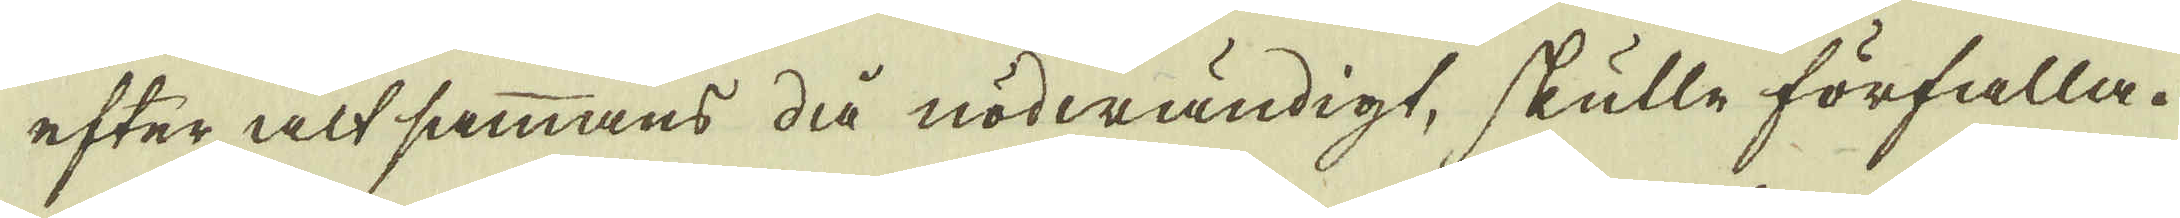efter alt sammans då nödwändigt, skulle förfalla,
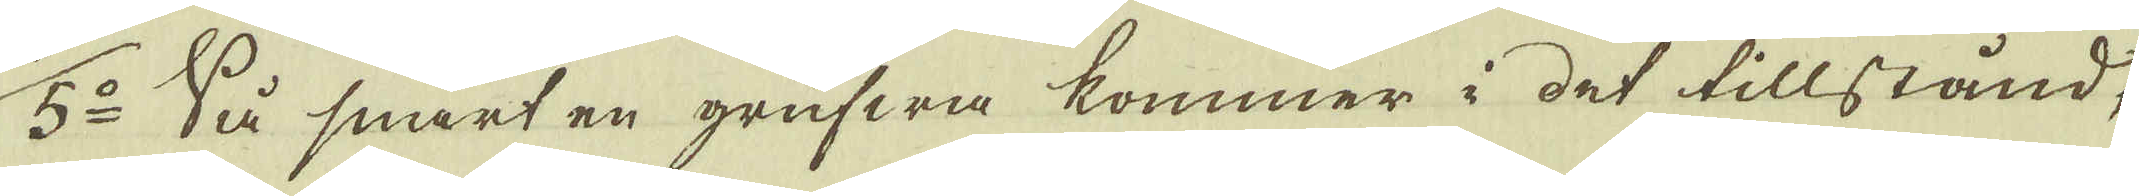5:o Så snart en grufwa kommer i det tillstånd,
